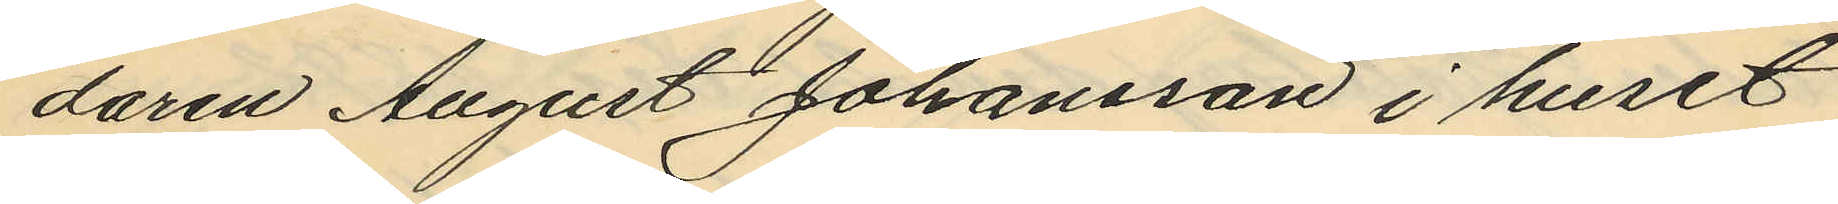daren August Johansson i huset
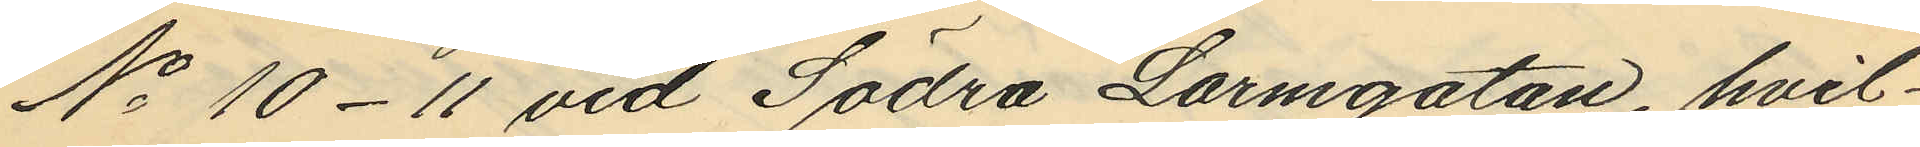No 10-11 vid Södra Larmgatan, hvil¬
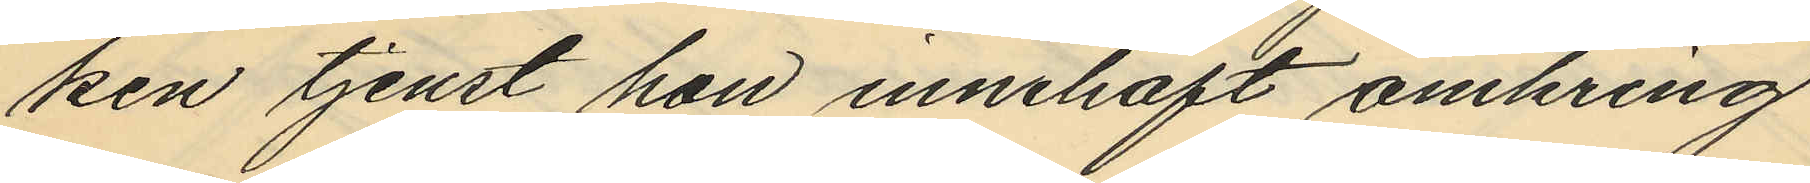ken tjenst hon innehaft omkring
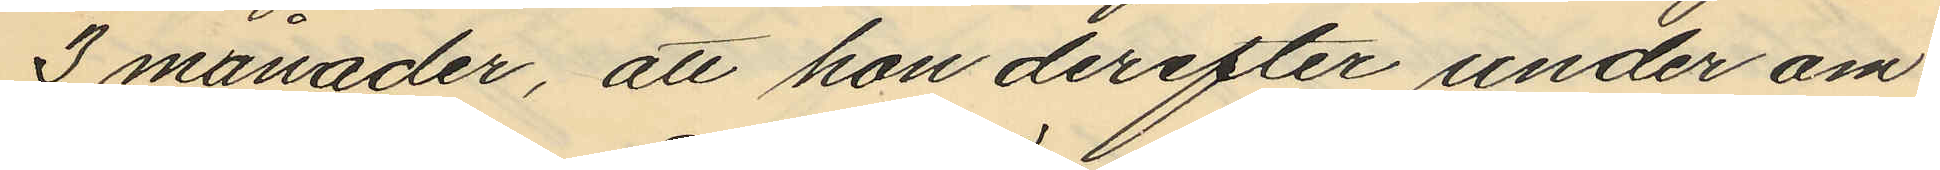3 månader, att hon derefter under om¬
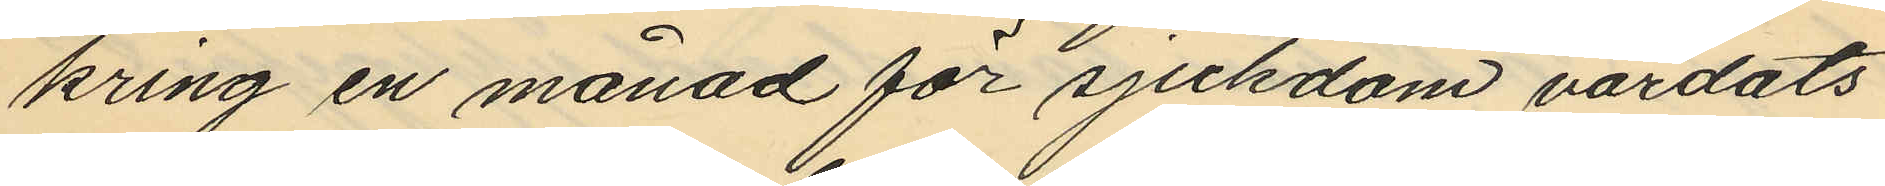kring en månad för sjukdom vårdats
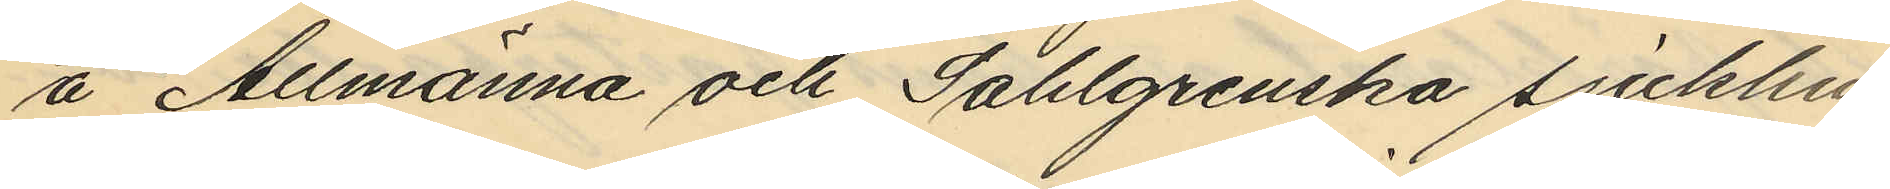å Allmänna och Sahlgrenska sjukhu¬
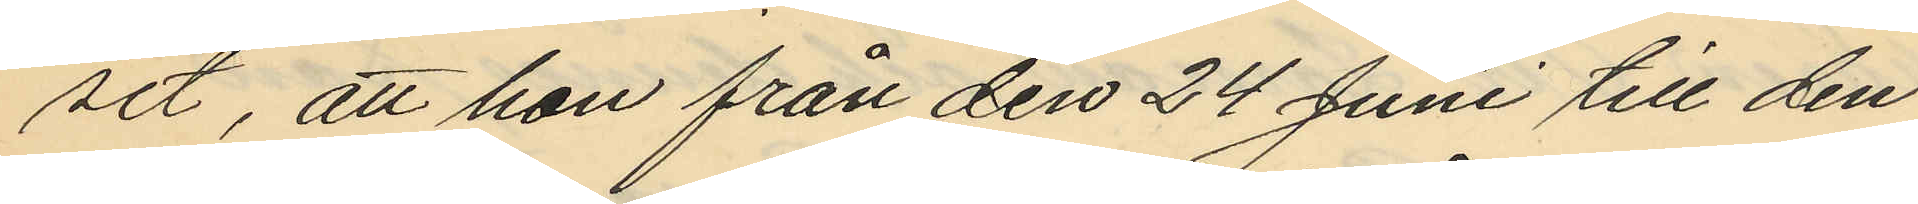set, att hon från den 24 Juni till den
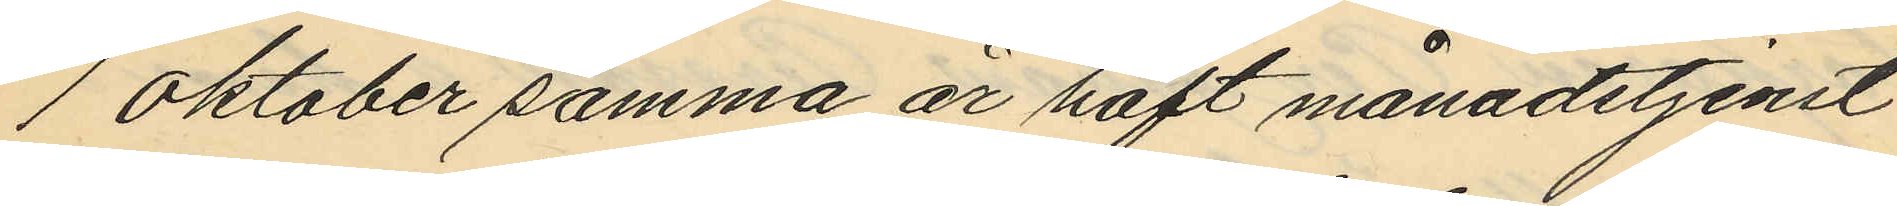1 Oktober samma år haft månadstjenst
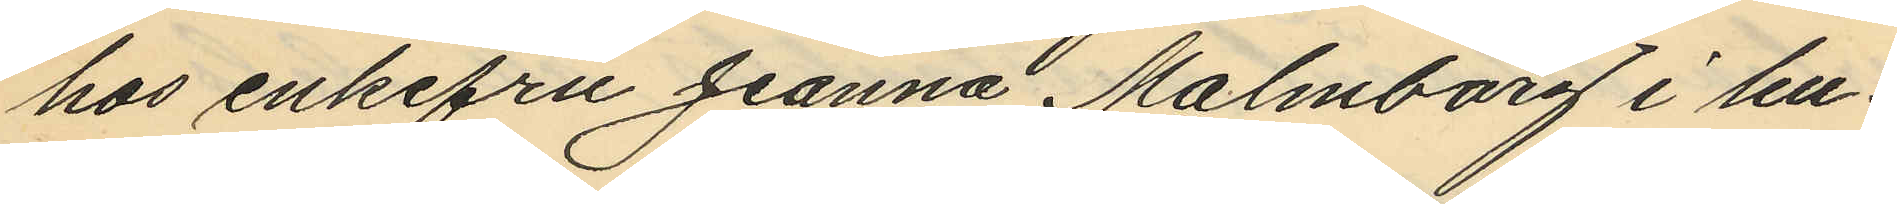hos enkefru Jeanna Malmborg i hu¬
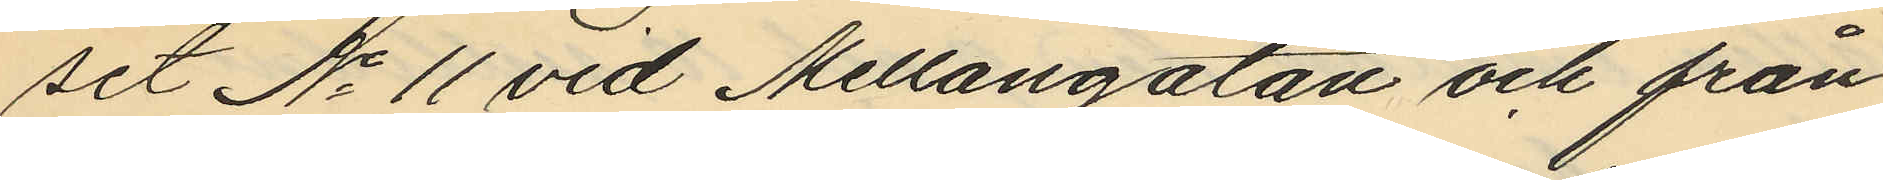set No 11 vid Mellangatan och från
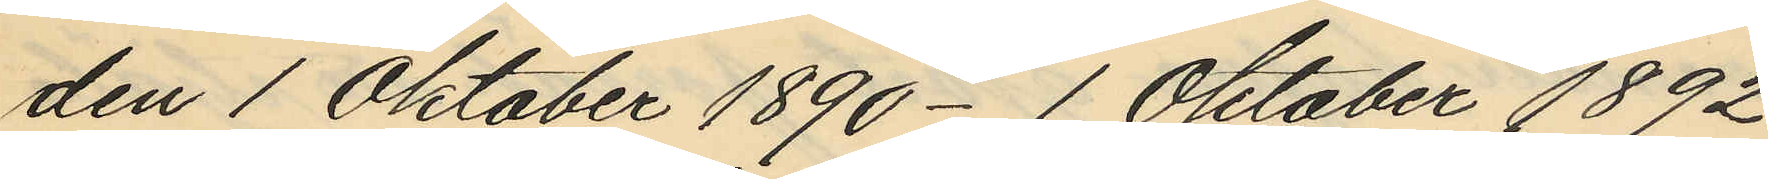den 1 Oktober 1890 - 1 Oktober 1892
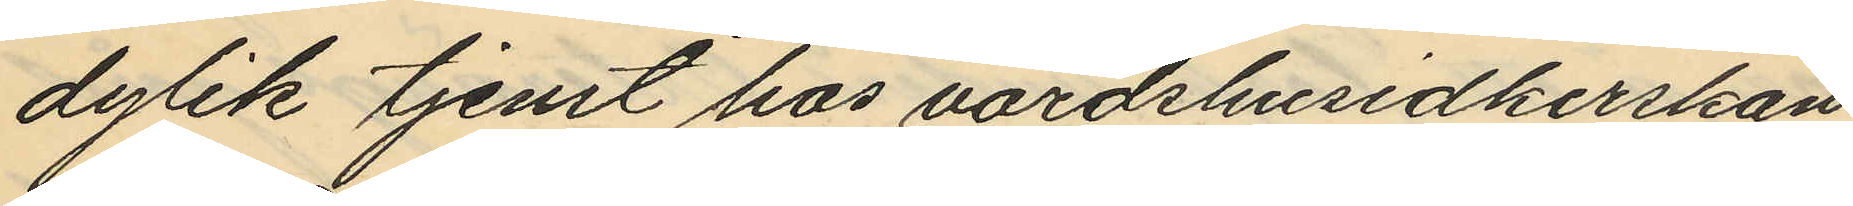dylik tjenst hos värdshusidkerskan
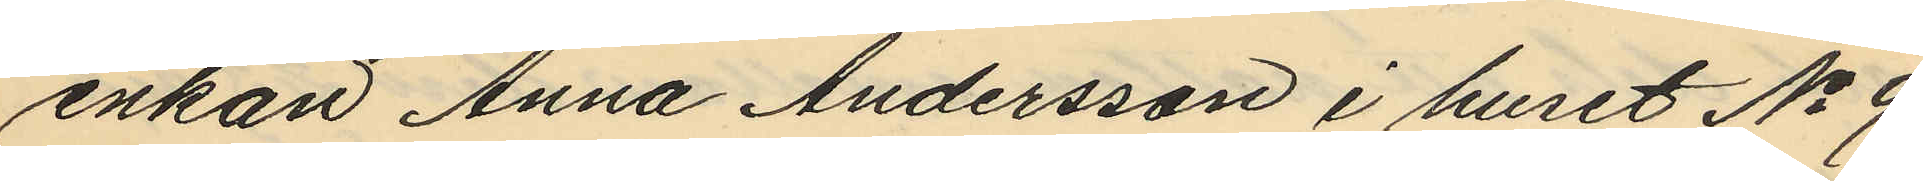enkan Anna Andersson i huset No 9
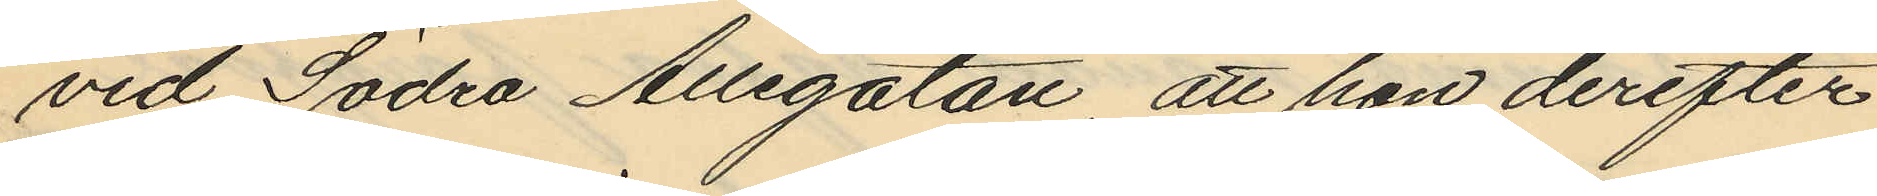vid Södra Allégatan, att hon derefter
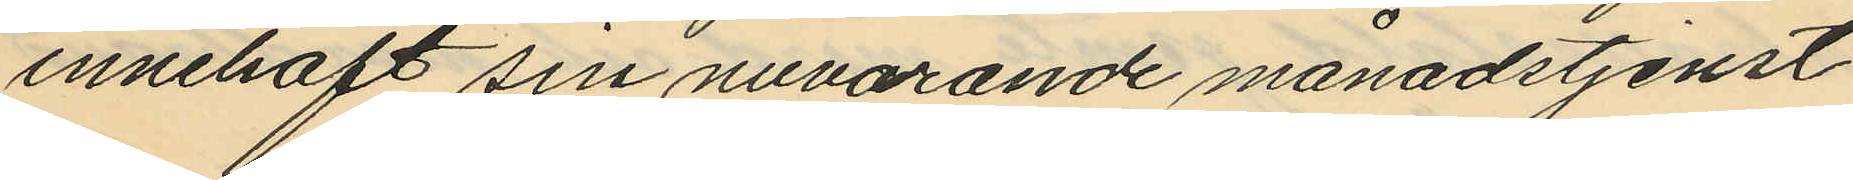innehaft sin nuvarande månadstjenst
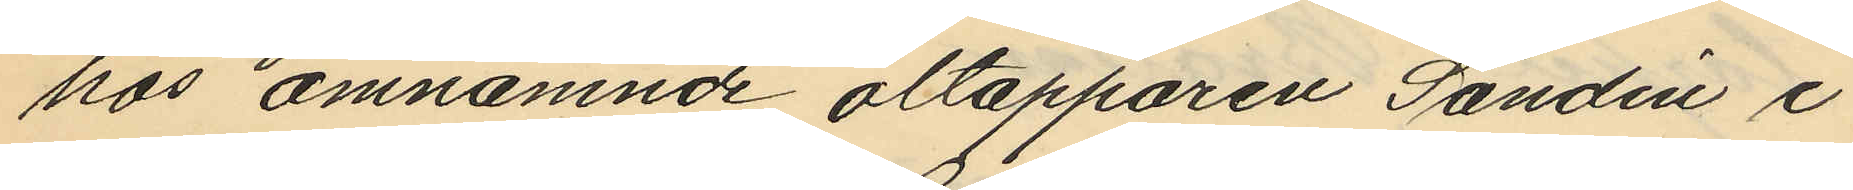hos omnämnde öltapparen Sandin i
